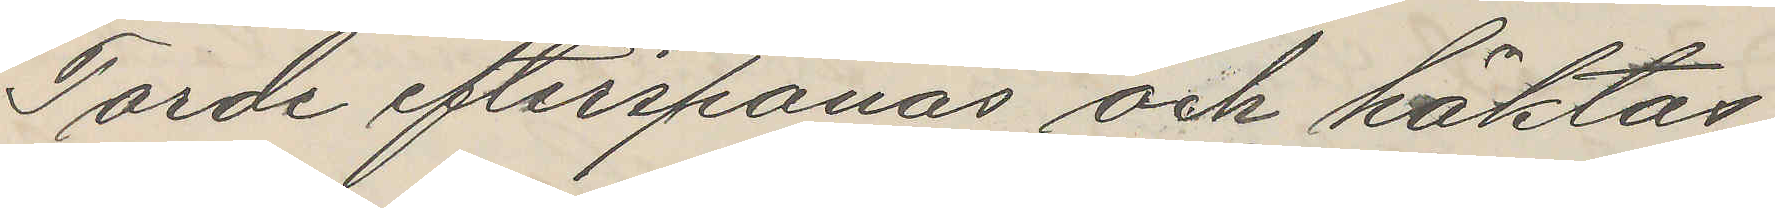Torde efterspanas och häktas
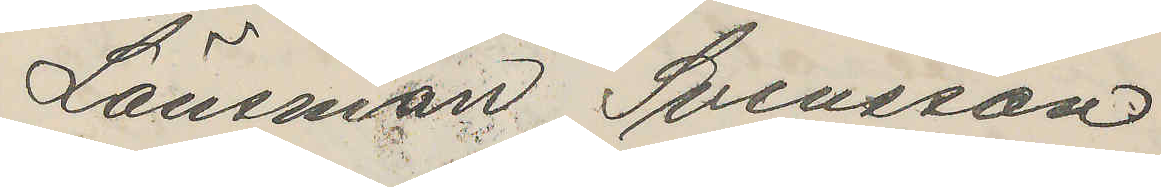Länsman Svensson
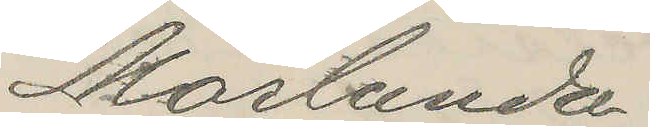Mörlunda
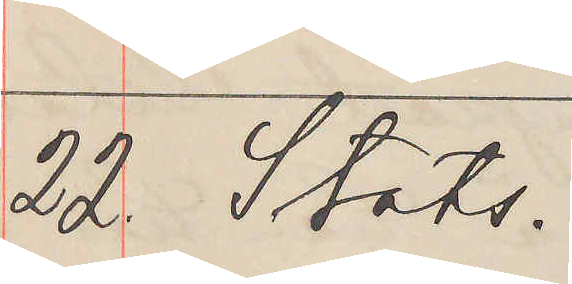22. Stats.
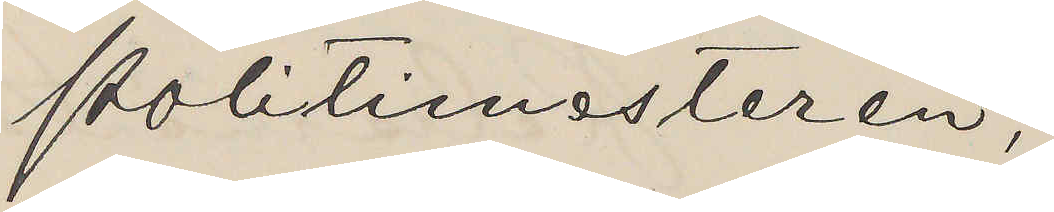Politimesteren,
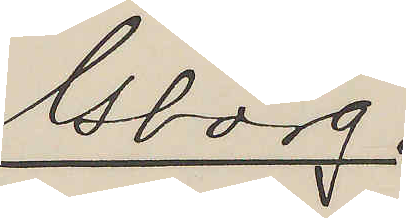Gborg.
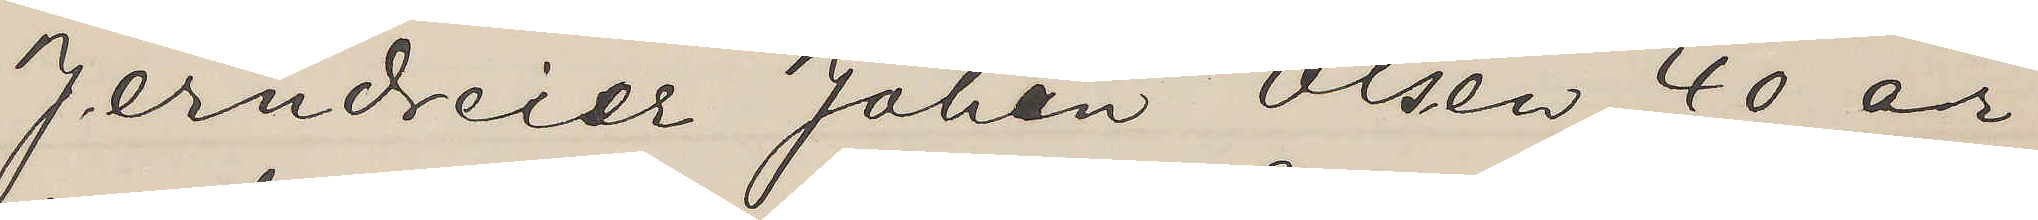Jerndreier Johan Olsen 40 år
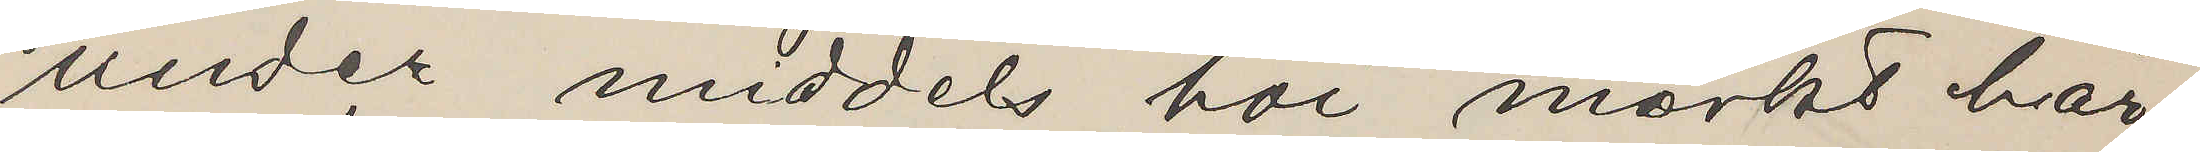under middels hoi mörkt hår
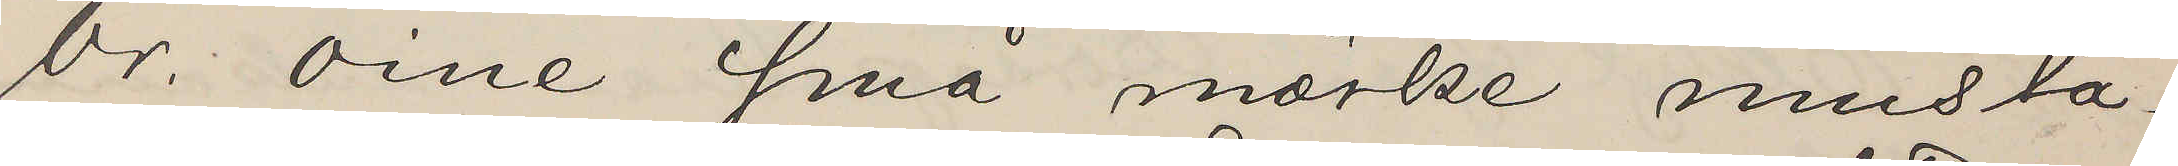br. öine små mörke musta¬
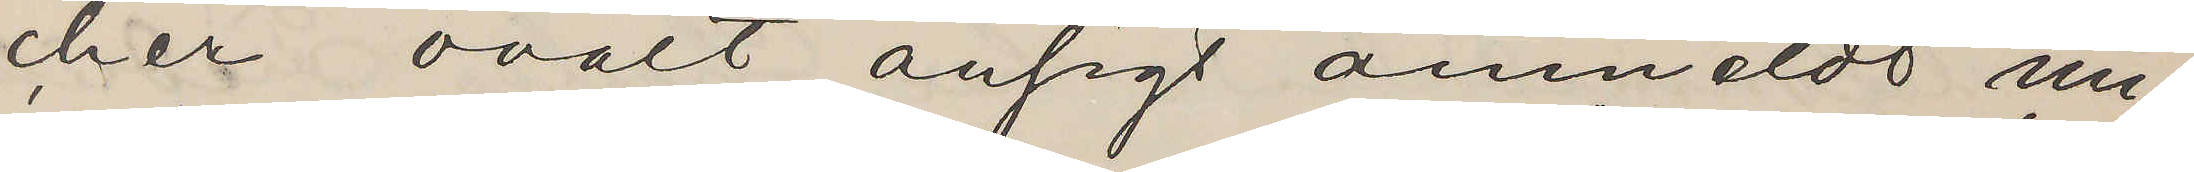cher ovalt ansigt anmeldt un¬
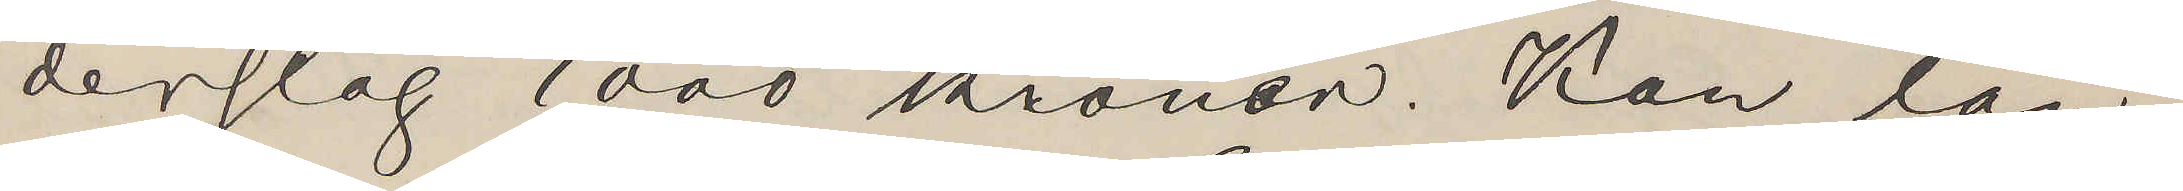derslag 1000 kroner. Kan tän¬
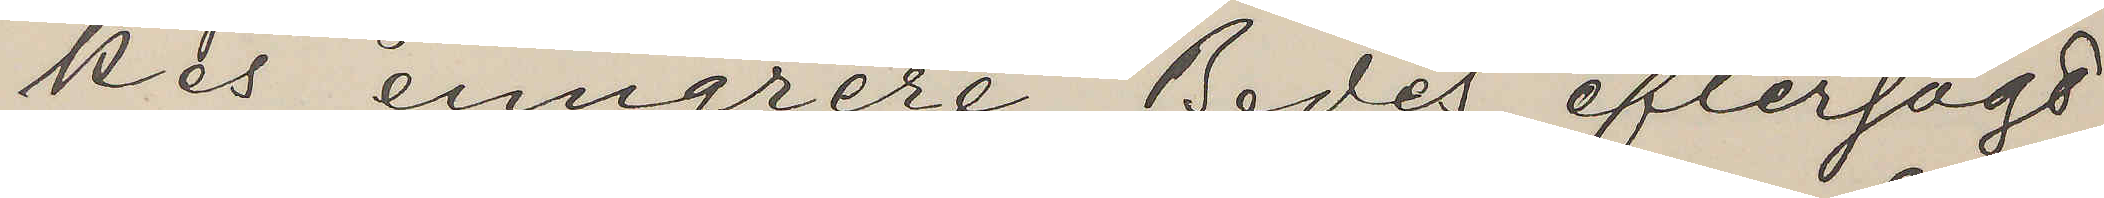kes emigrere. Bedes eftersögt
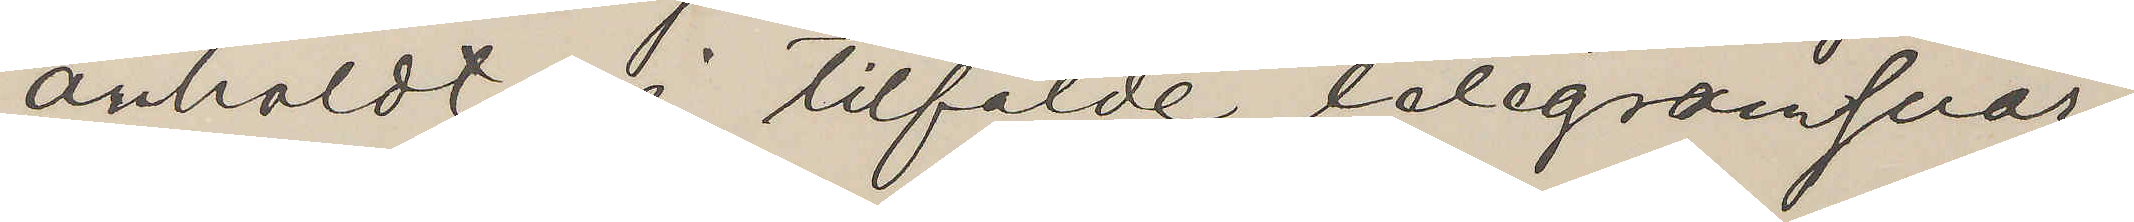anholdt i tilfälde telegramsvar,
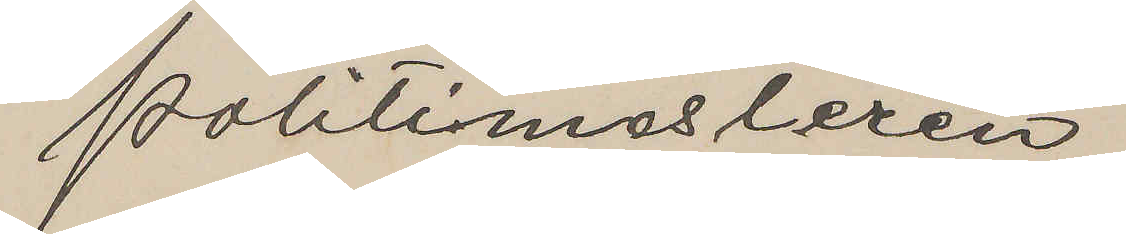Politimesteren.
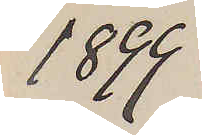1899
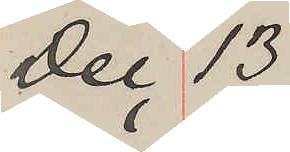Dec 13
